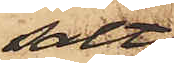salt
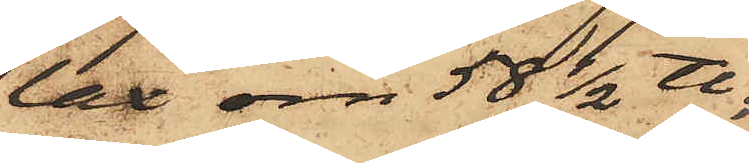lax om 58 1/2 ℔.
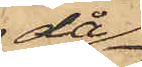då
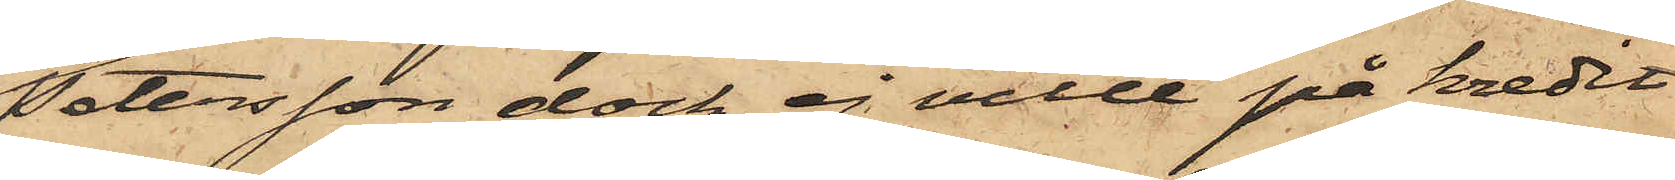Petersson dock ej ville på kredit
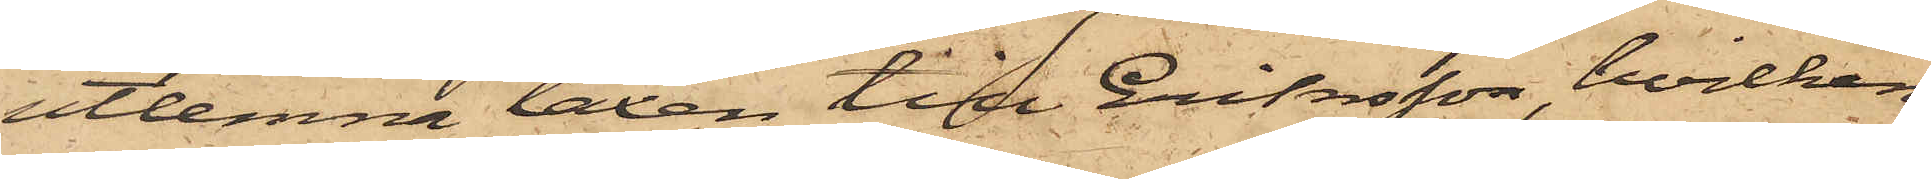utlemna laxen till Eriksson, hvilken
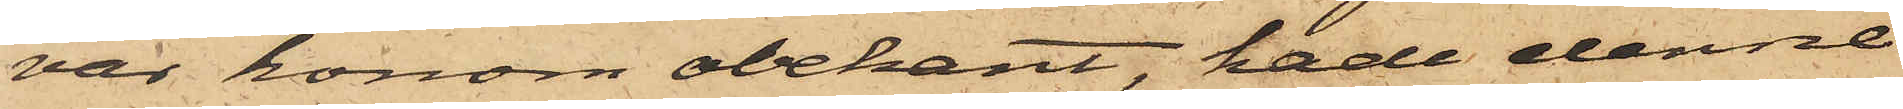var honom obekant, hade denne
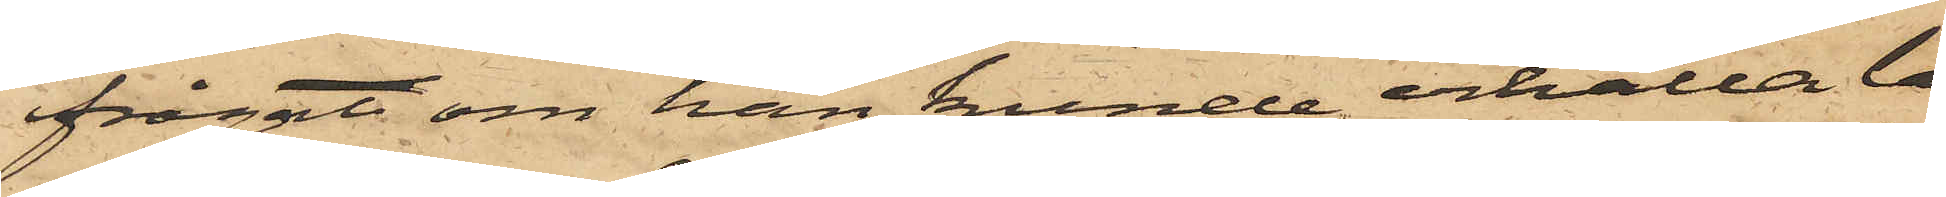frågat om han kunde erhålla la¬
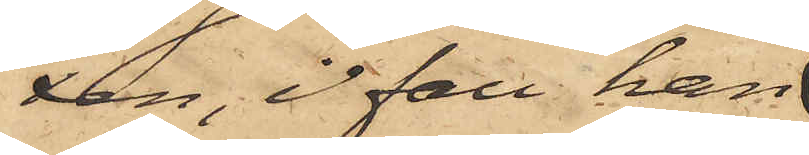xen, ifall han
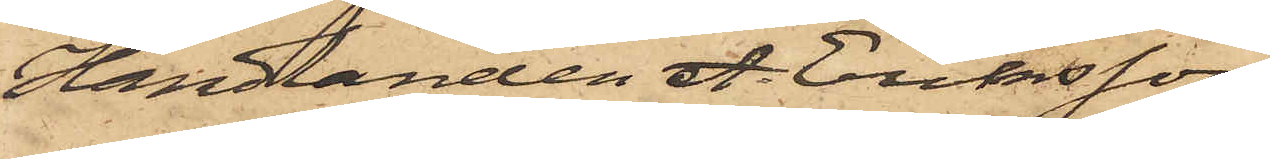Handlanden A. Eriksson
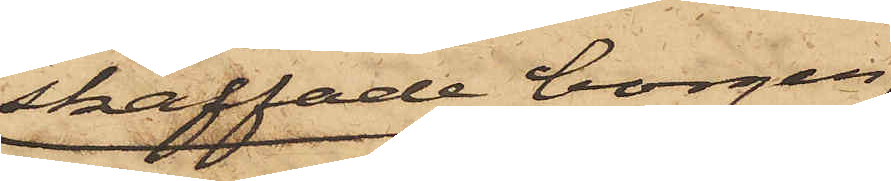skaffade borgen
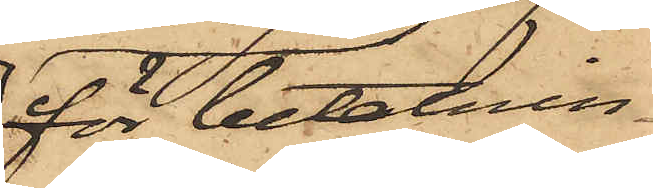för betalnin¬
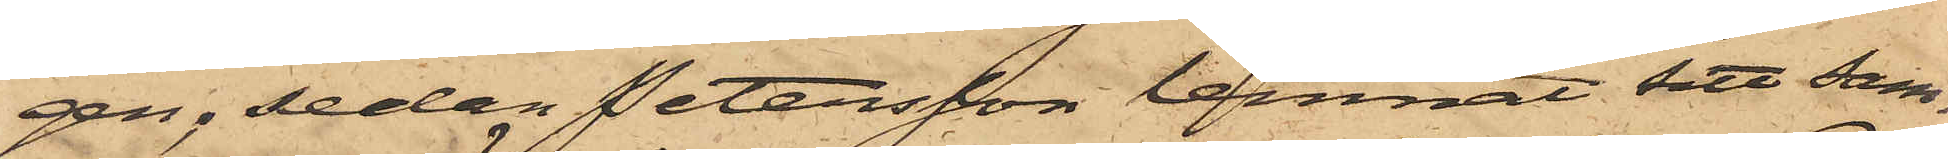gen; sedan Petersson lemnat sitt sam¬
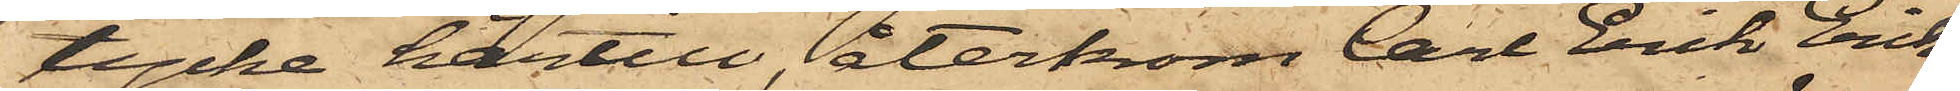tycke härtill, återkom Carl Erik Eriks¬
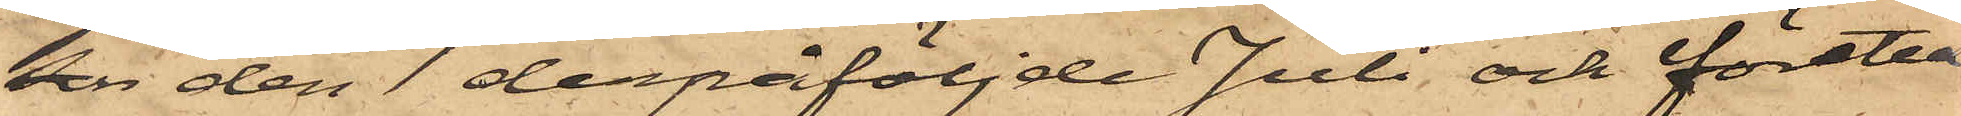son den 1 derpåföljde Juli och företed¬
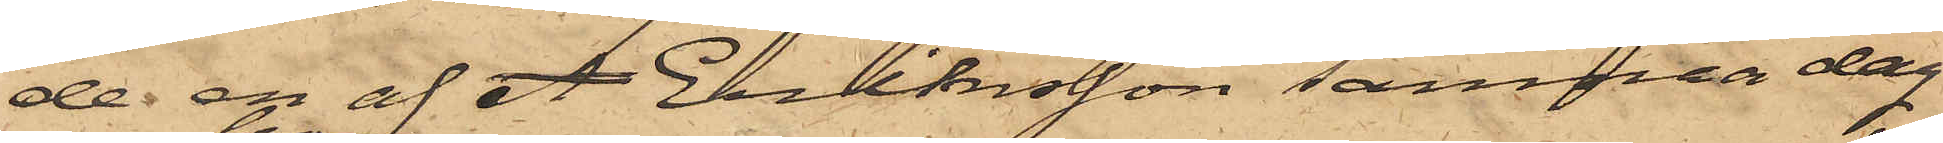de en af A Eriksson samma dag
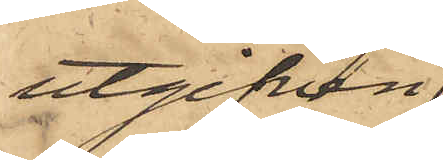utgifven
